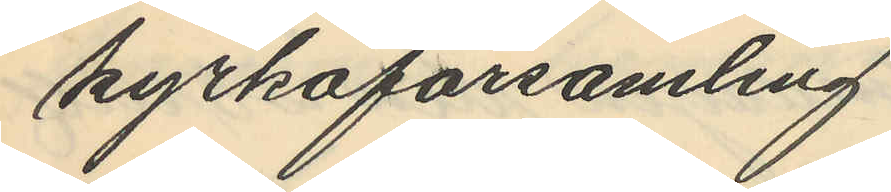kyrkoförsamling.
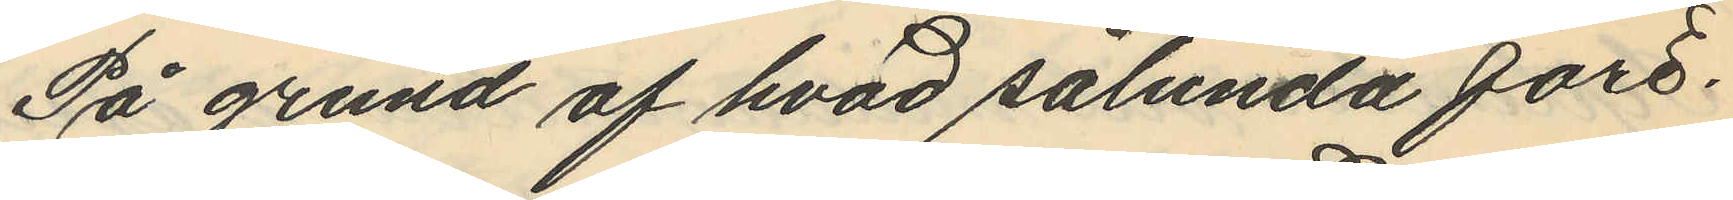På grund af hvad sålunda före¬
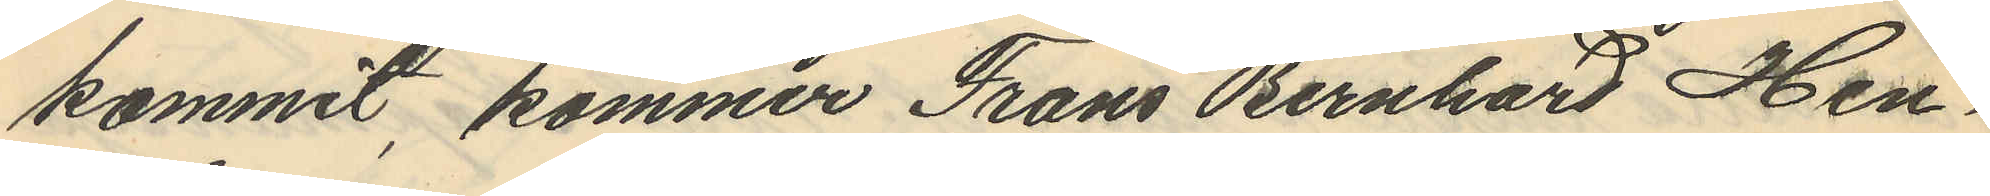kommit, kommer Frans Bernhard Hen¬
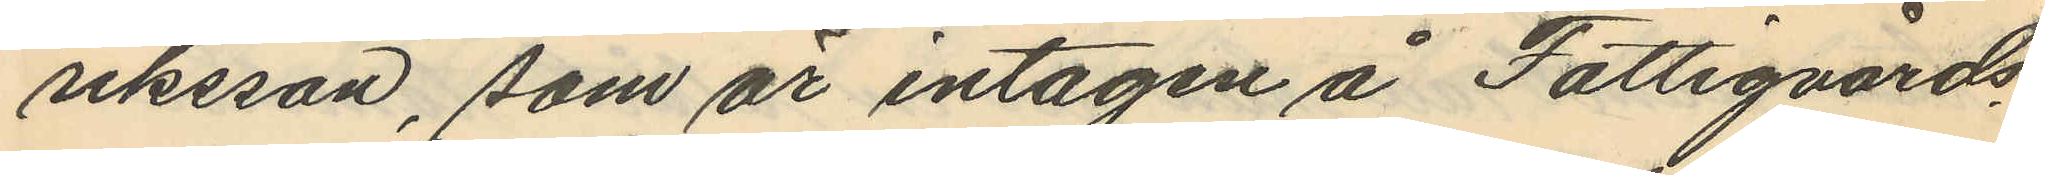riksson, som är intagen å Fattigvårds
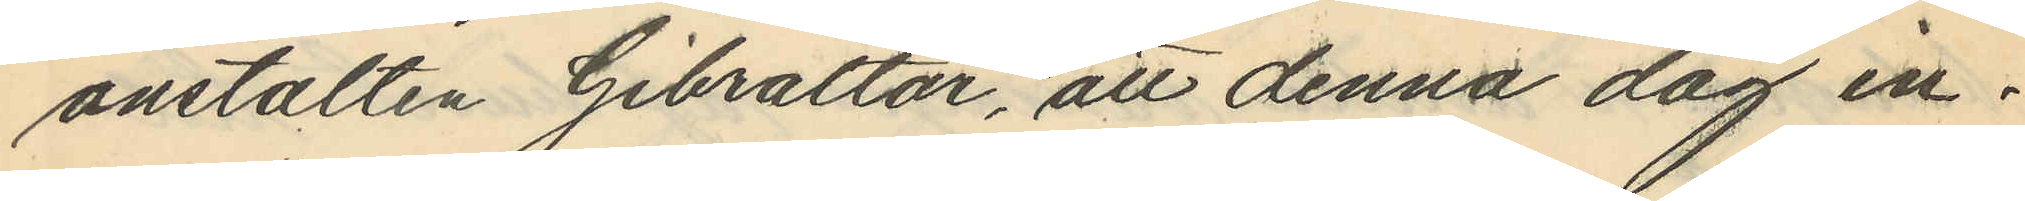anstalten Gibraltar, att denna dag in¬
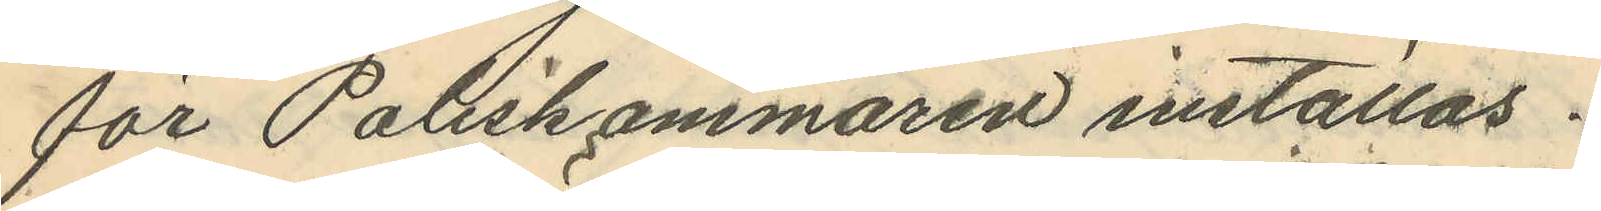för Poliskammaren inställas.
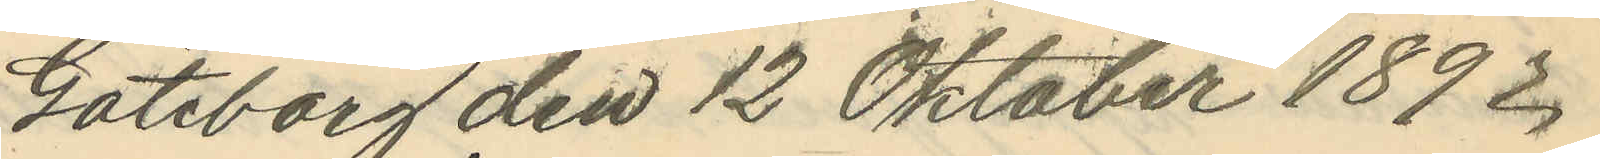Göteborg den 12 Oktober 1892.
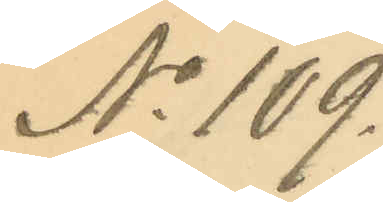No 109.
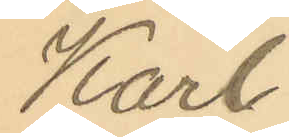Karl
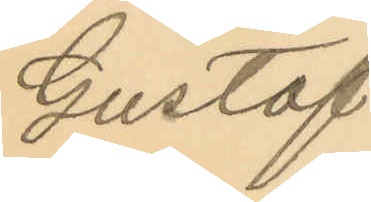Gustaf
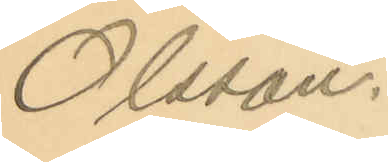Olsson.
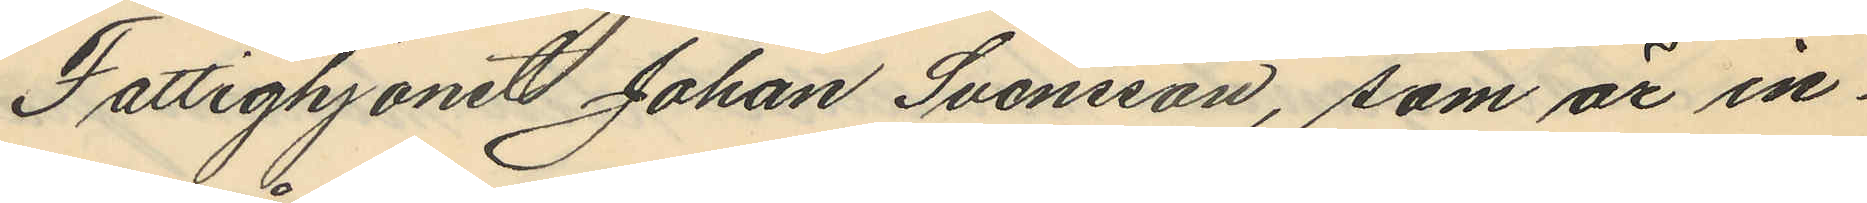Fattighjonet Johan Svensson, som är in¬
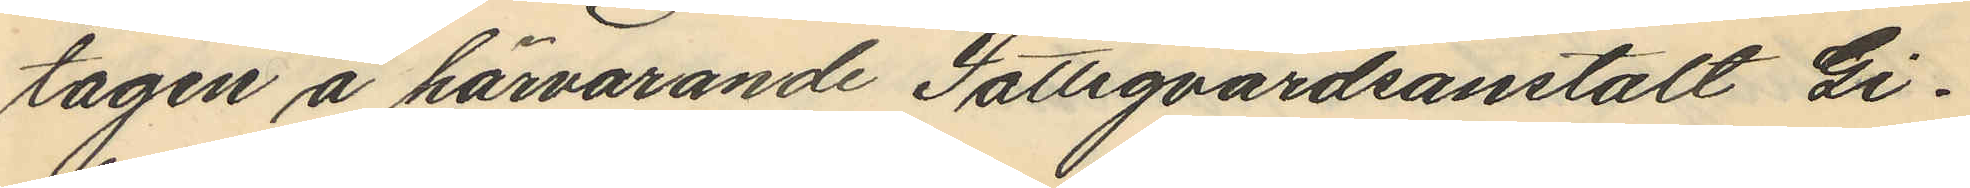tagen å härvarande Fattigvårdsanstalt Gi¬
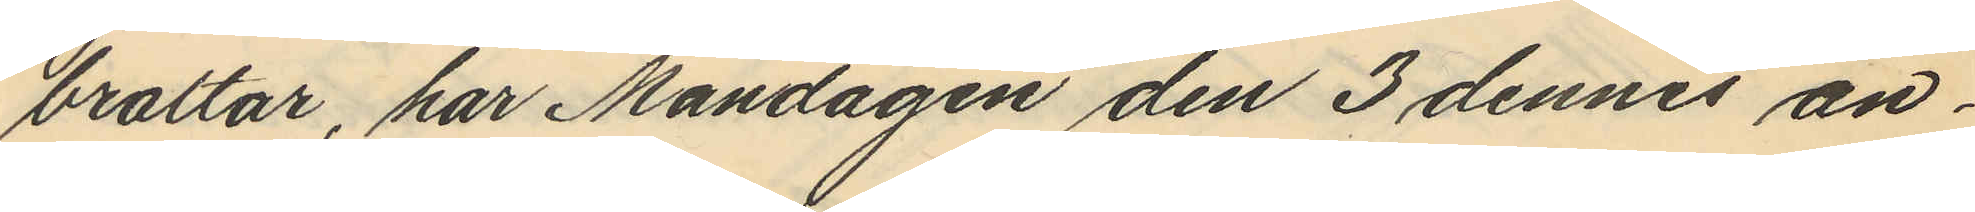braltar, har Måndagen den 3 dennes an¬
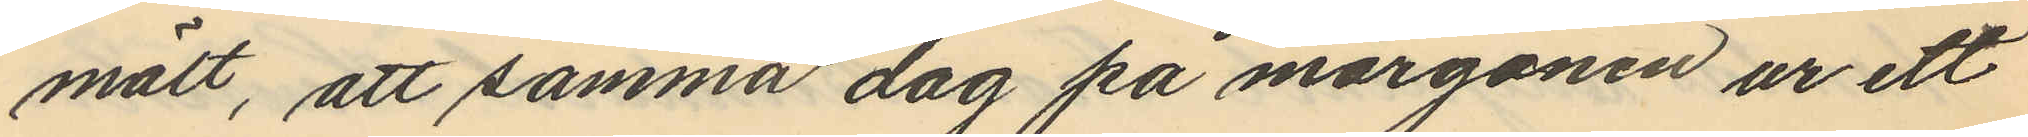mält, att samma dag på morgonen ur ett
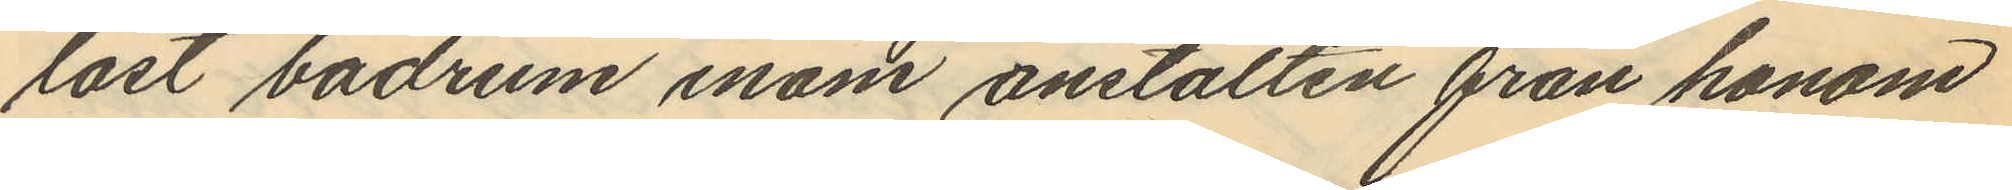låst badrum inom anstalten från honom
